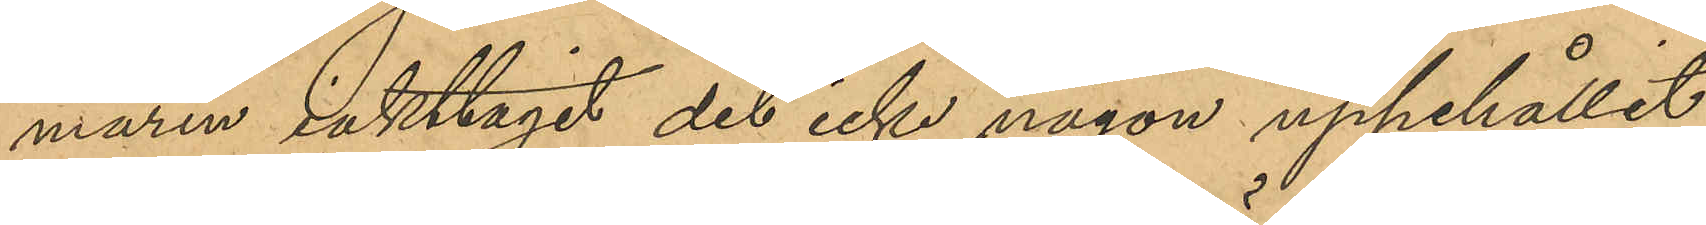maren iakttagit det icke någon uppehållit
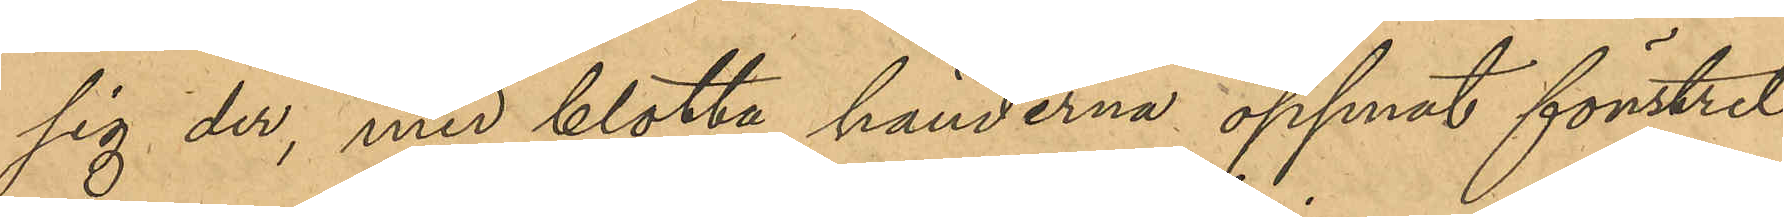sig der, med blotta händerna öppnat fönstret
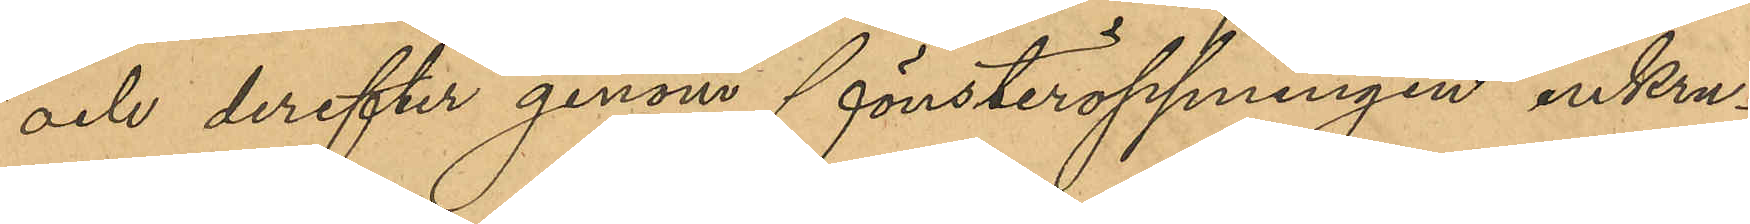och derefter genom fönsteröppningen inkru¬
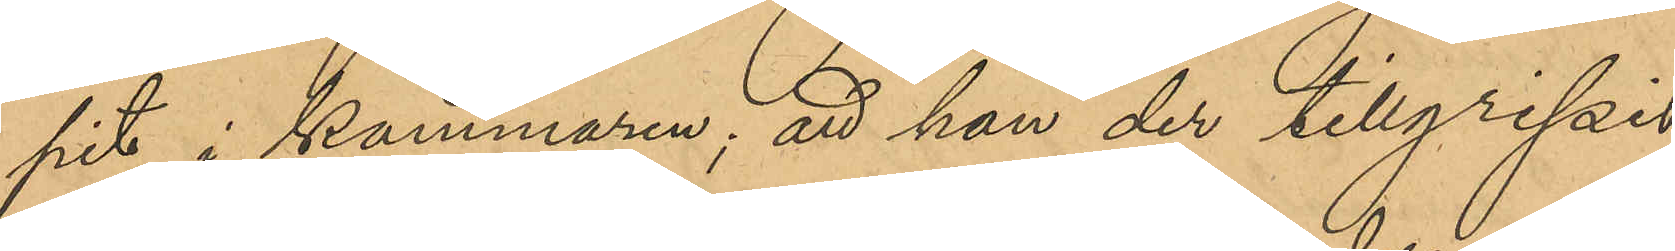pit i kammaren; att han der tillgripit
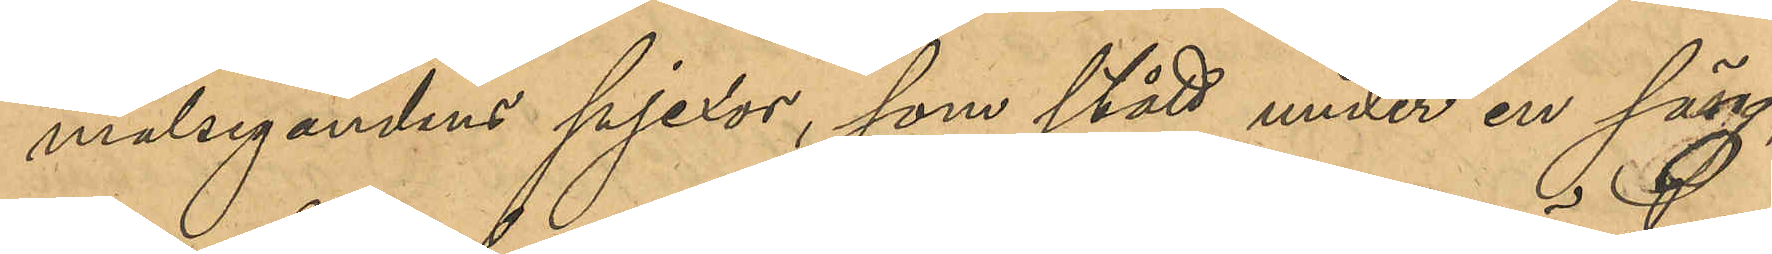målsegandens pjexor, som stått under en säng,
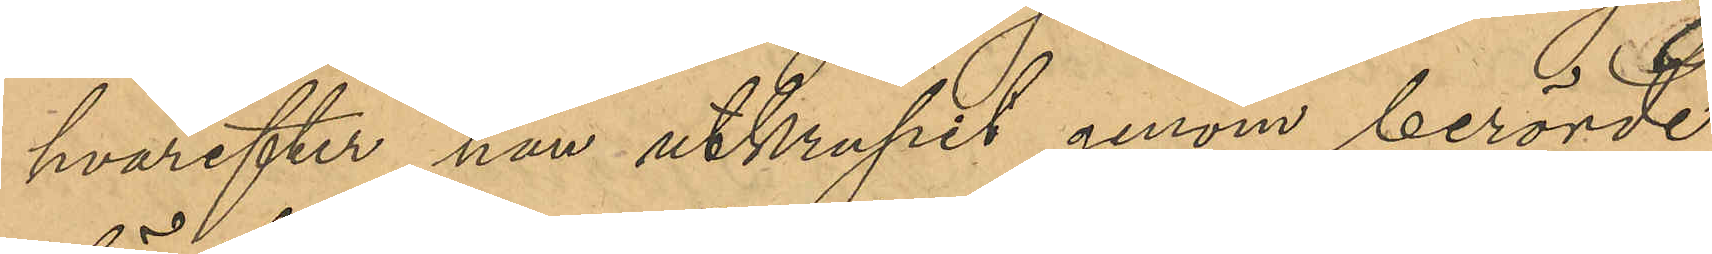hvarefter han utkrupit genom berörde
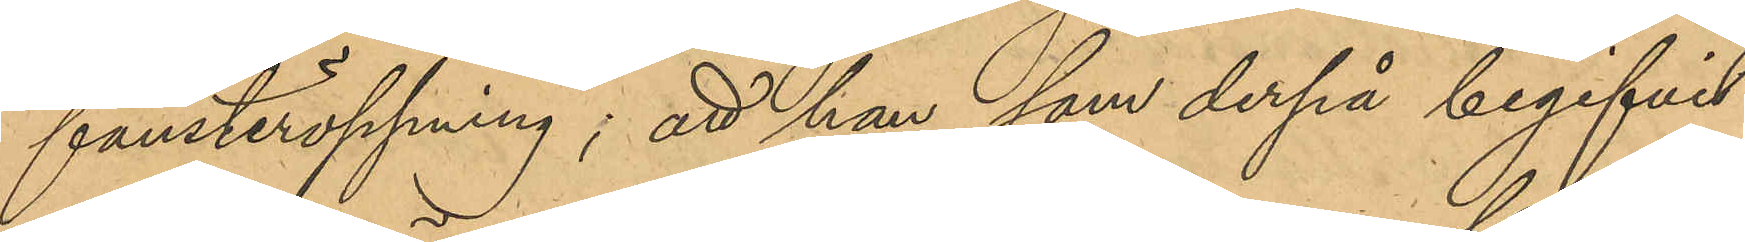fönsteröppning; att han, som derpå begifvit
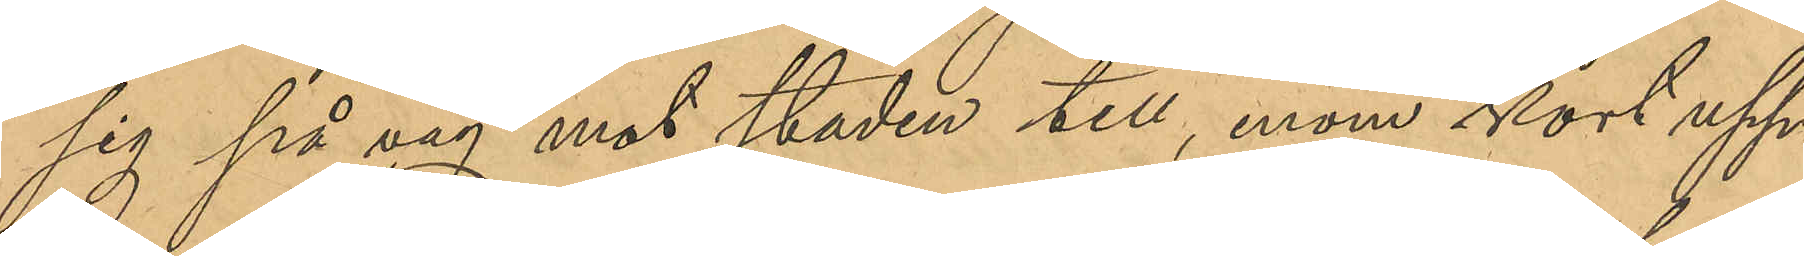sig på väg mot staden till, inom kort upp¬
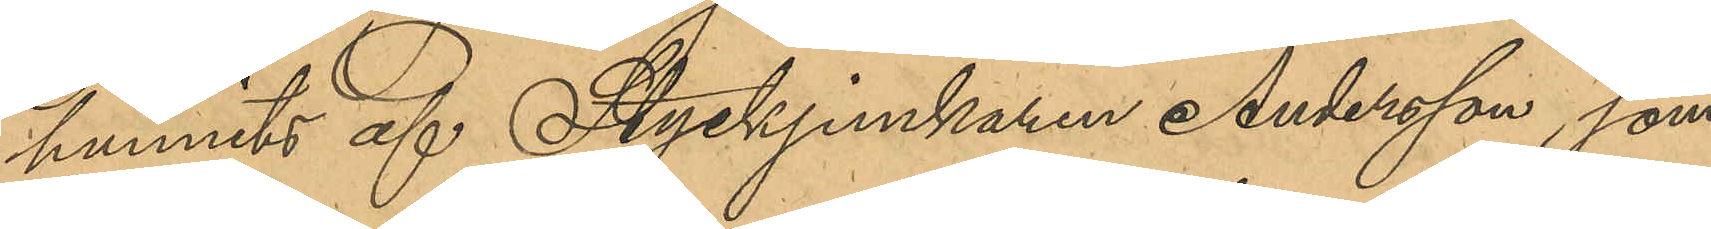hunnits af Styckjunkaren Andersson, som
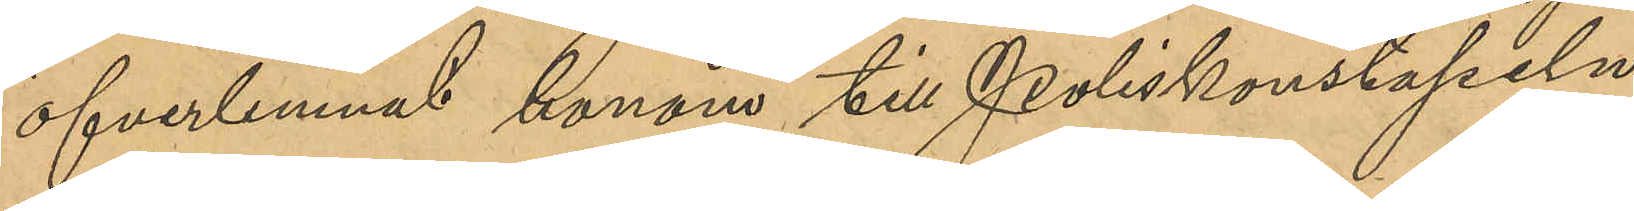öfverlemnat honom till Poliskonstapeln
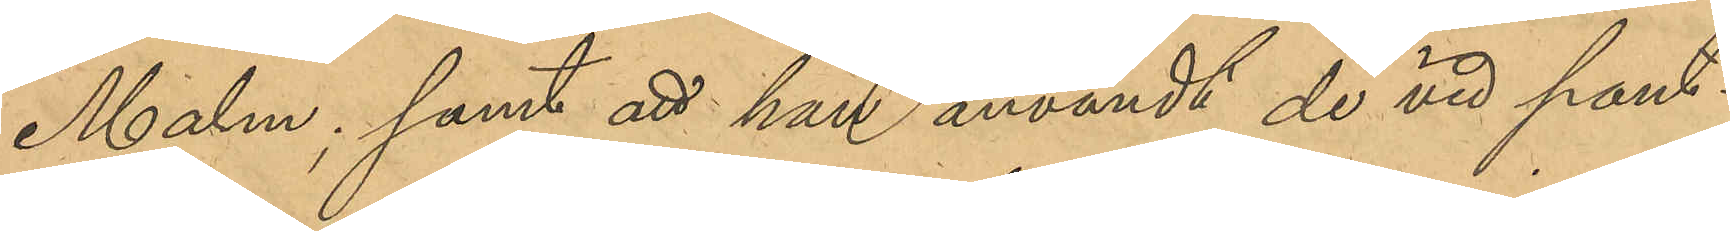Malm; samt att han användt de vid pant¬
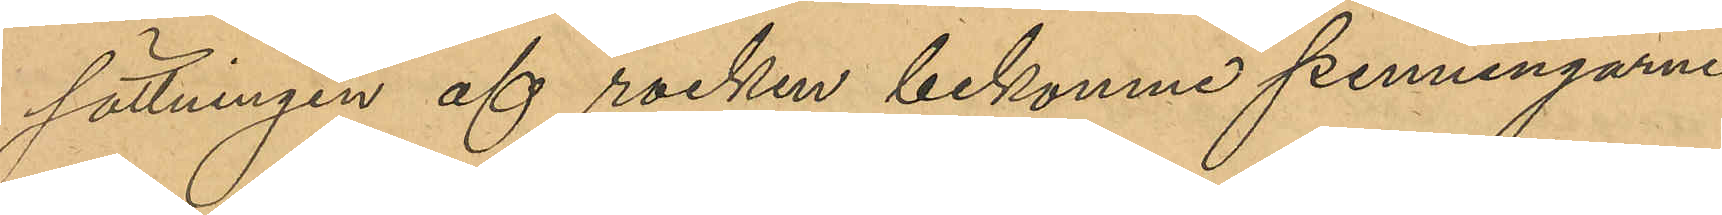sättningen af rocken bekomne penningarne
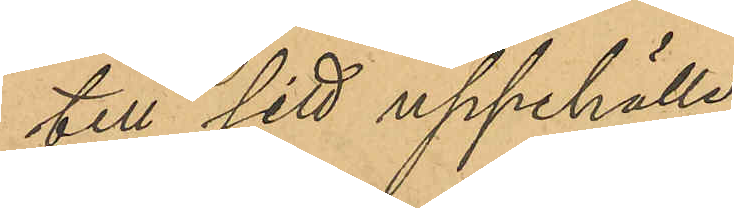till sitt uppehälle.
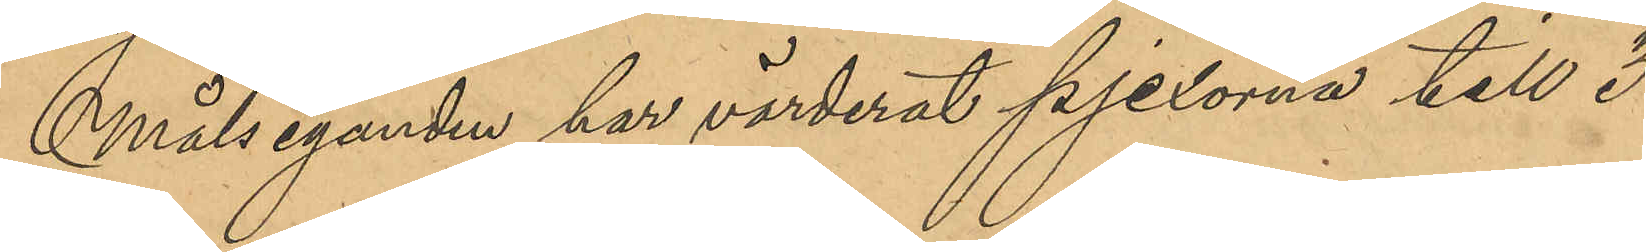Målseganden har värderat pjexorna till 3
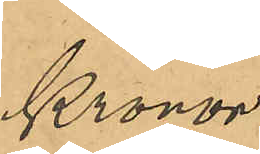Kronor.
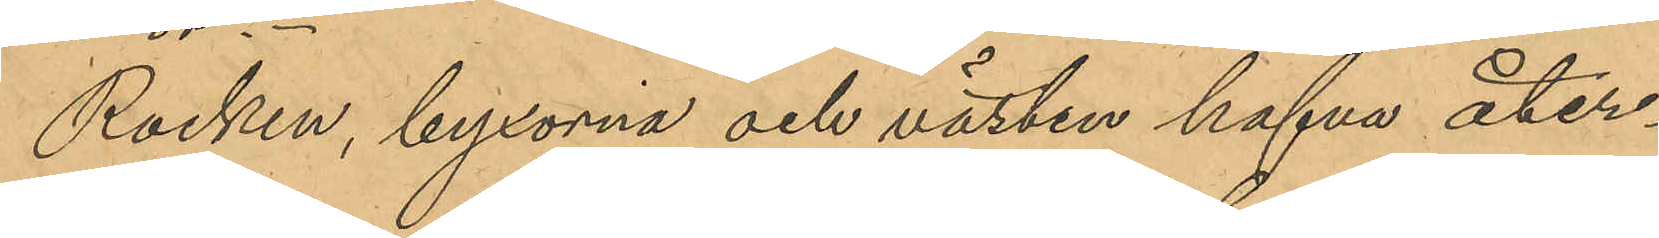Rocken, byxorna och västen hafva åter¬
